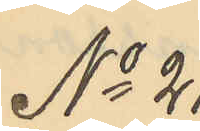No 21
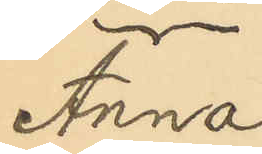Anna
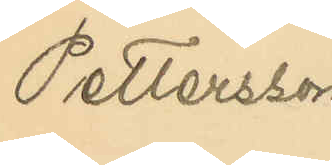Pettersson
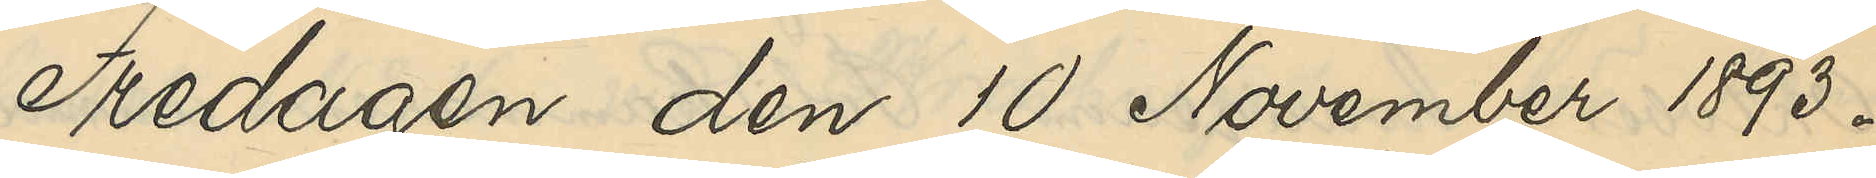Fredagen den 10 November 1893.
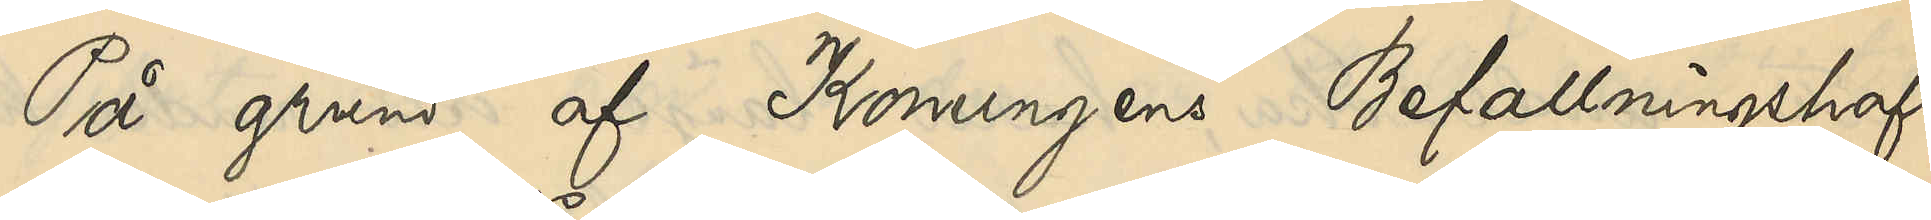På grund af Konungens Befallningshaf¬
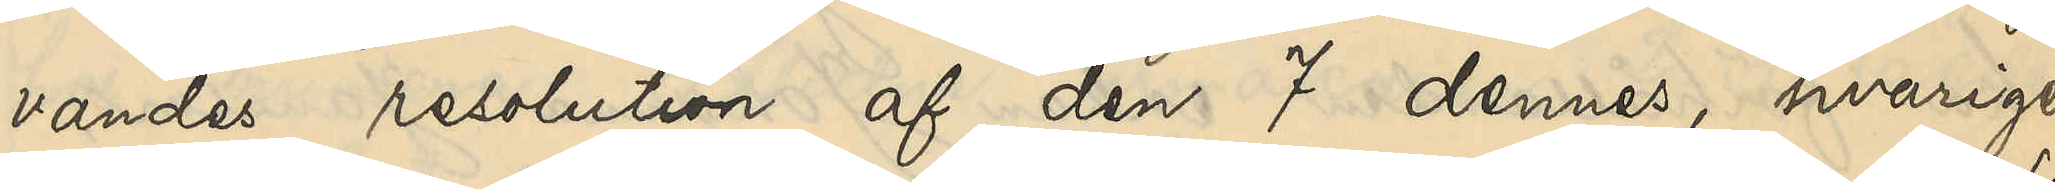vandes resolution af den 7 dennes, hvarige¬
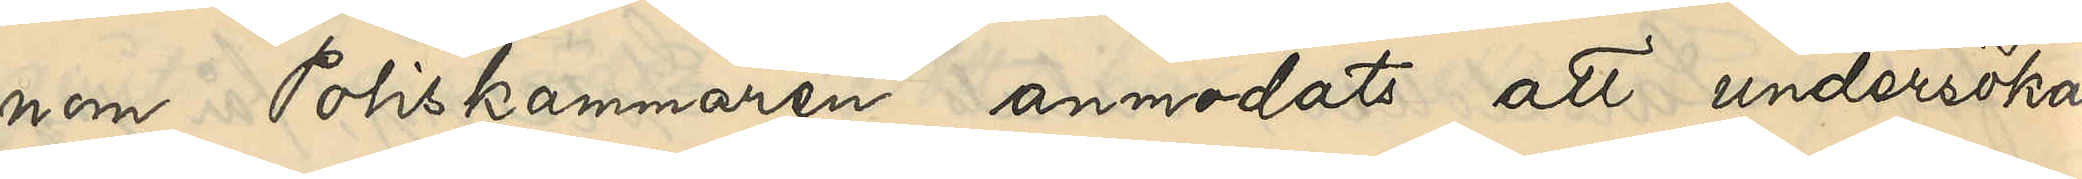nom Poliskammaren anmodats att undersöka
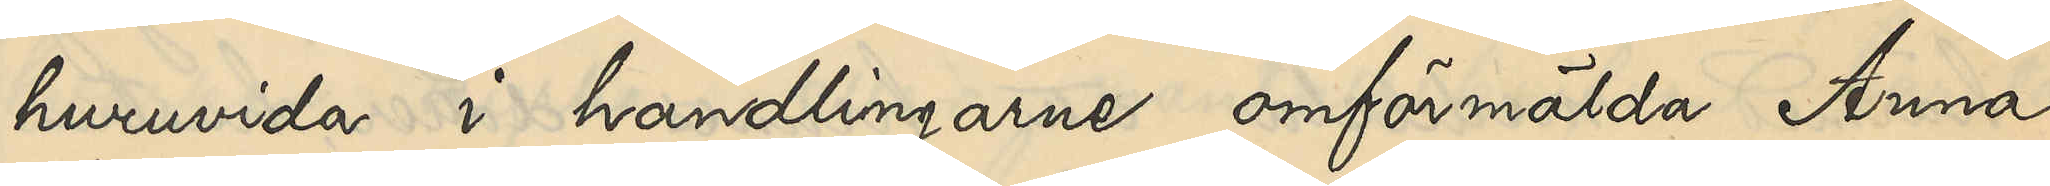huruvida i handlingarne omförmälda Anna
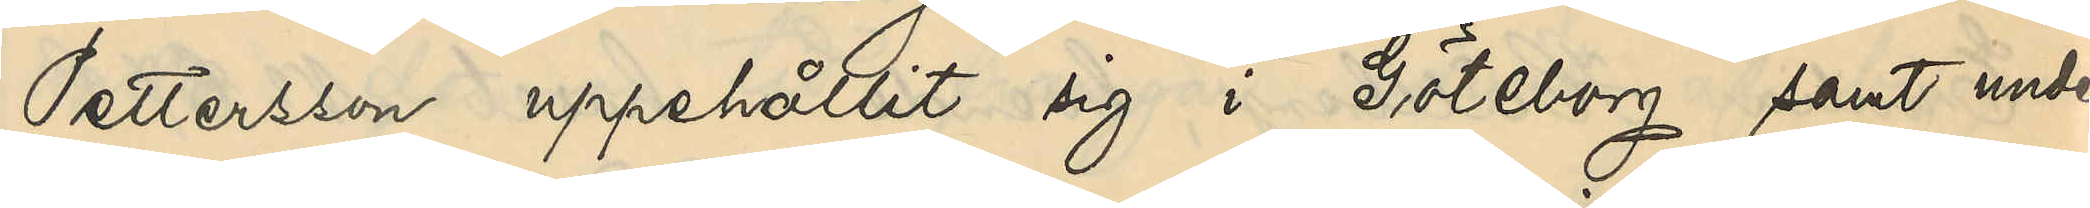Pettersson uppehållit sig i Göteborg samt under
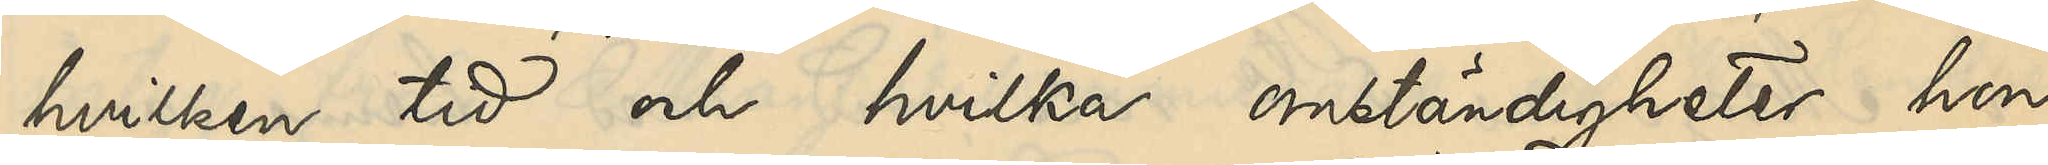hvilken tid och hvilka omständigheter hon
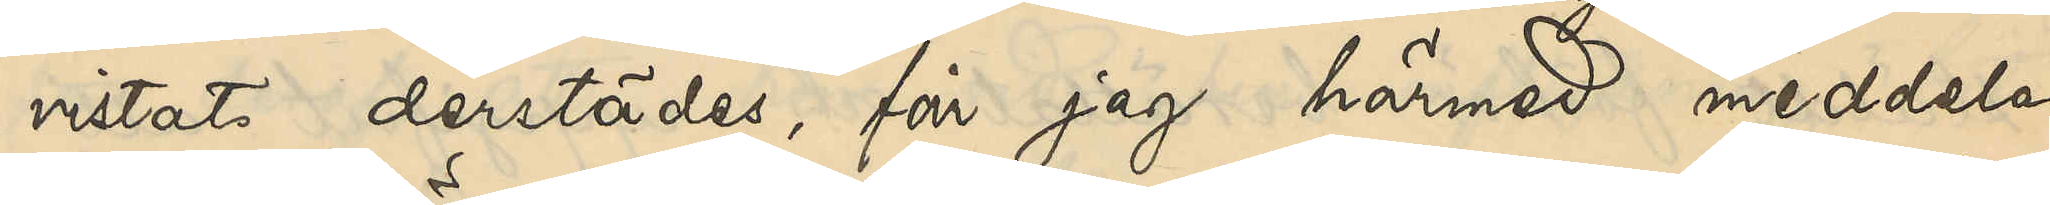vistats derstädes, får jag härmed meddela,
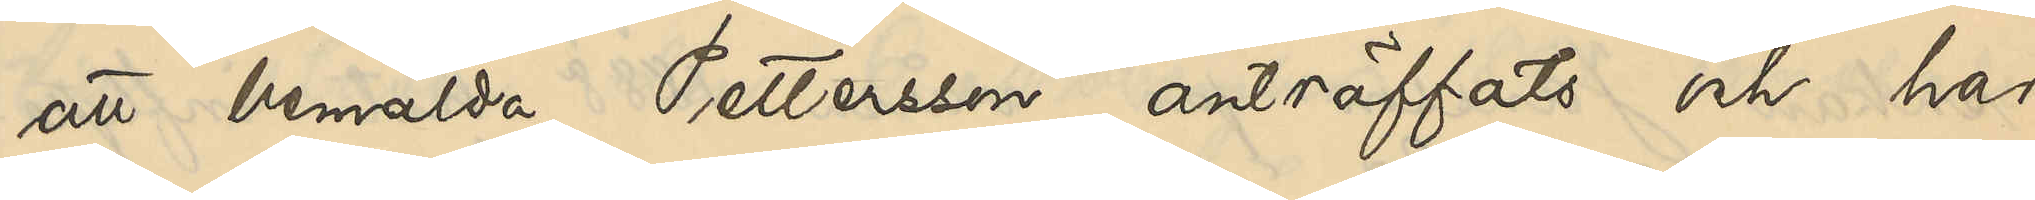att bemälda Pettersson anträffats och har
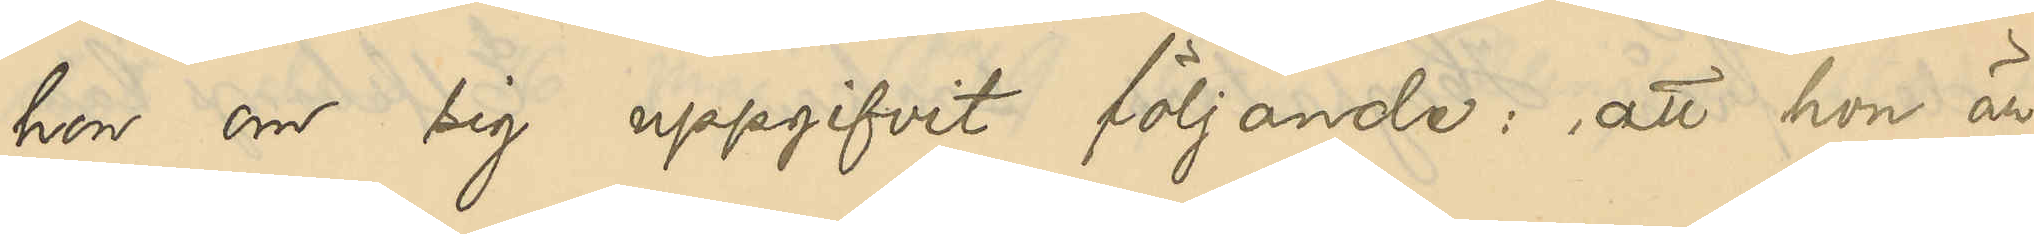hon om sig uppgifvit följande: att hon är
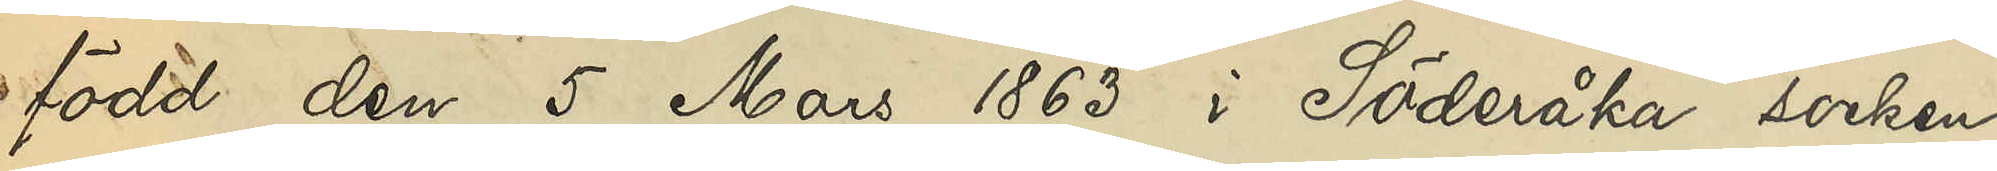född den 5 Mars 1863 i Söderåka socken
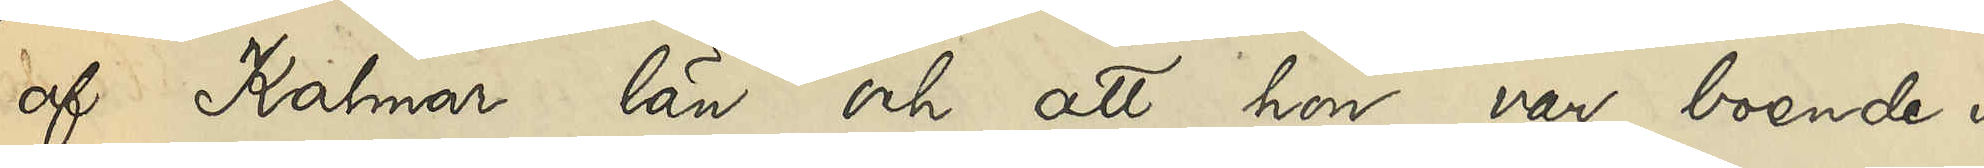af Kalmar län och att hon var boende i
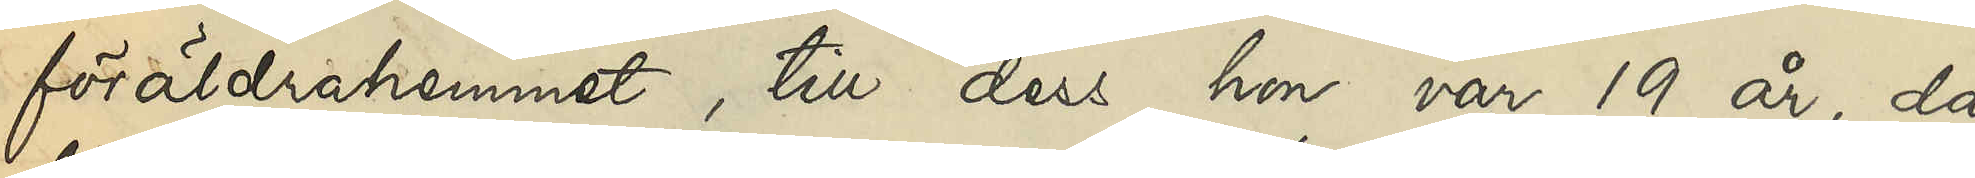föräldrahemmet, till dess hon var 19 år, då
